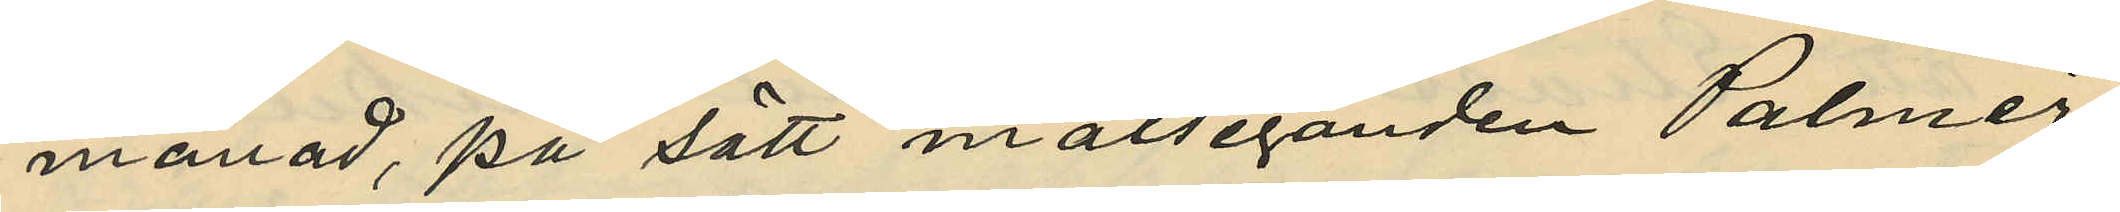månad, på sätt målseganden Palmér
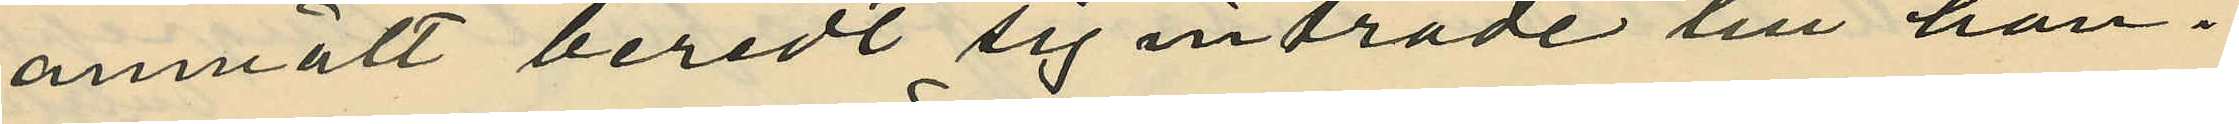anmält beredt sig inträde till han¬
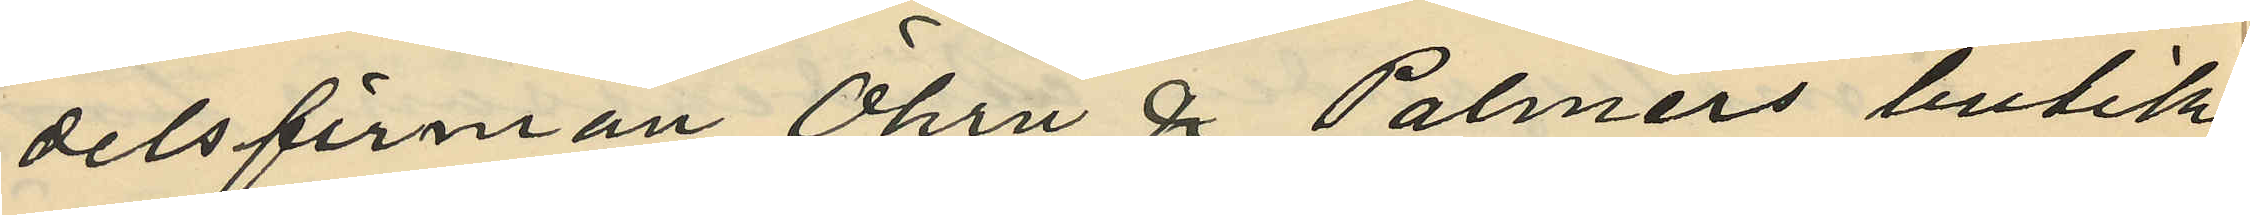delsfirman Öhrn & Palmérs butik
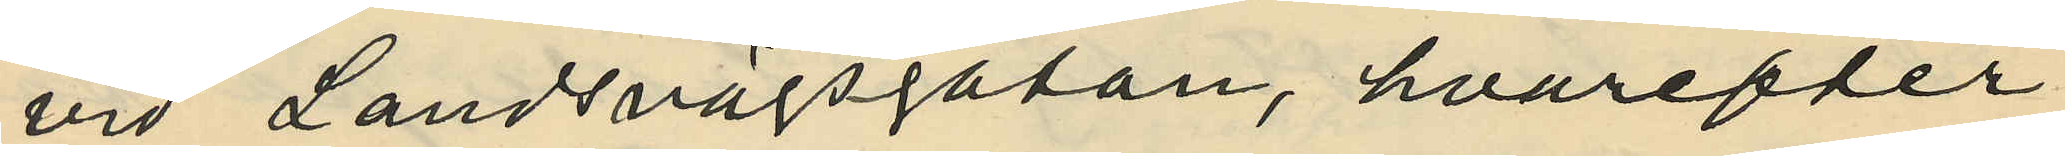vid Landsvägsgatan, hvarefter
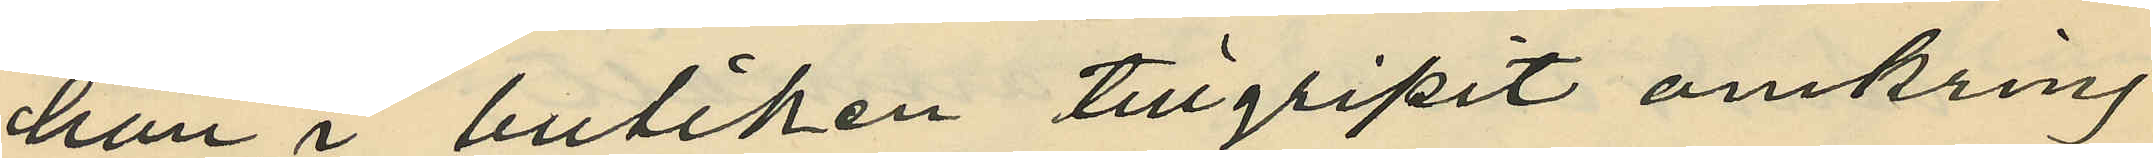han i butiken tillgripit omkring
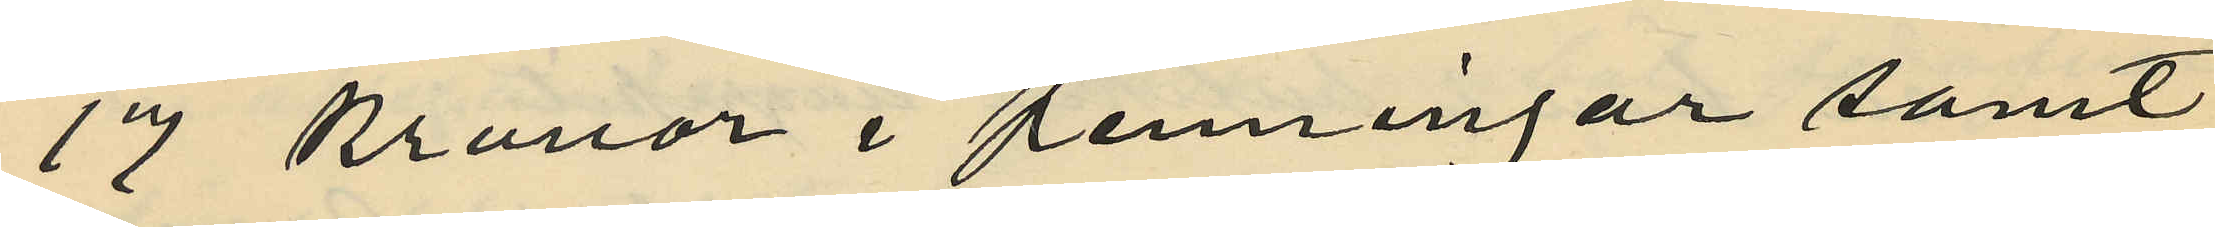17 Kronor i penningar samt
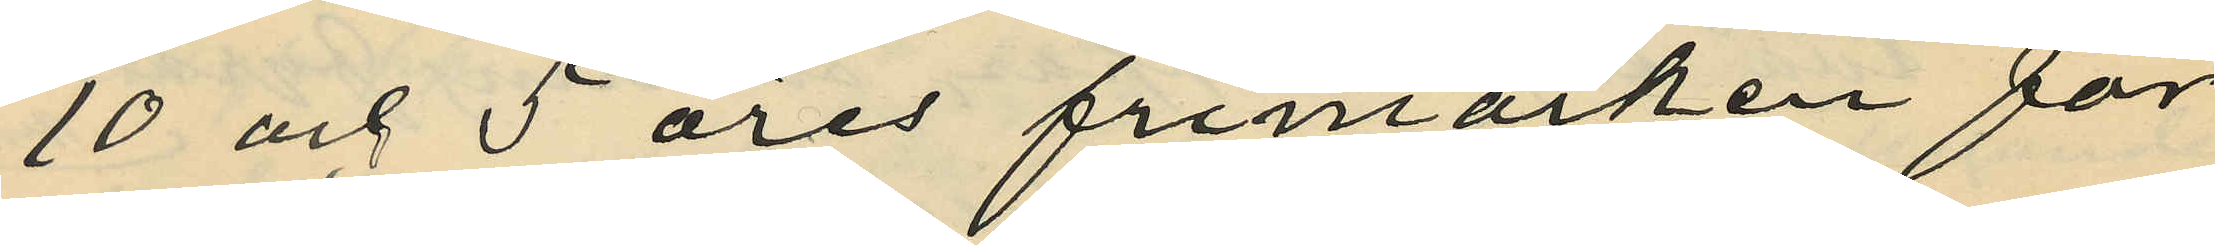10 och 5 öres frimärken för
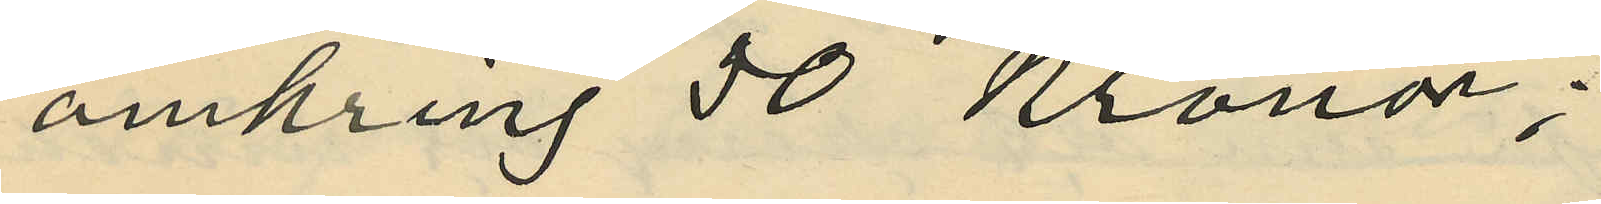omkring 50 Kronor;
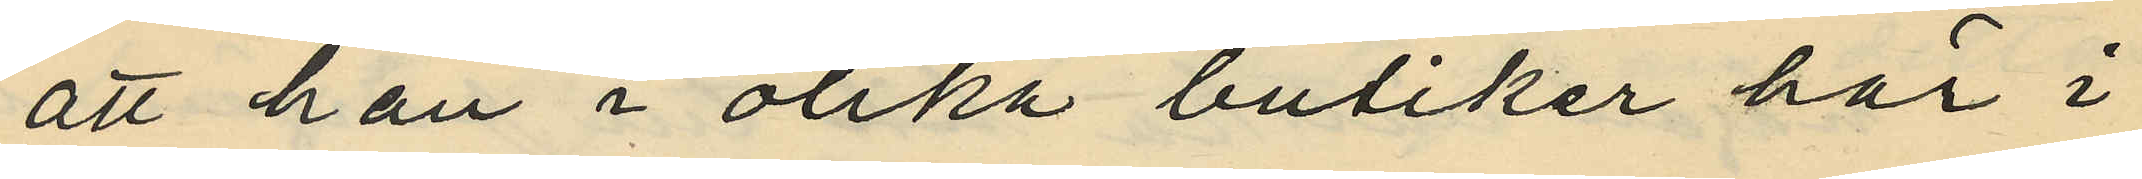att han i olika butiker här i
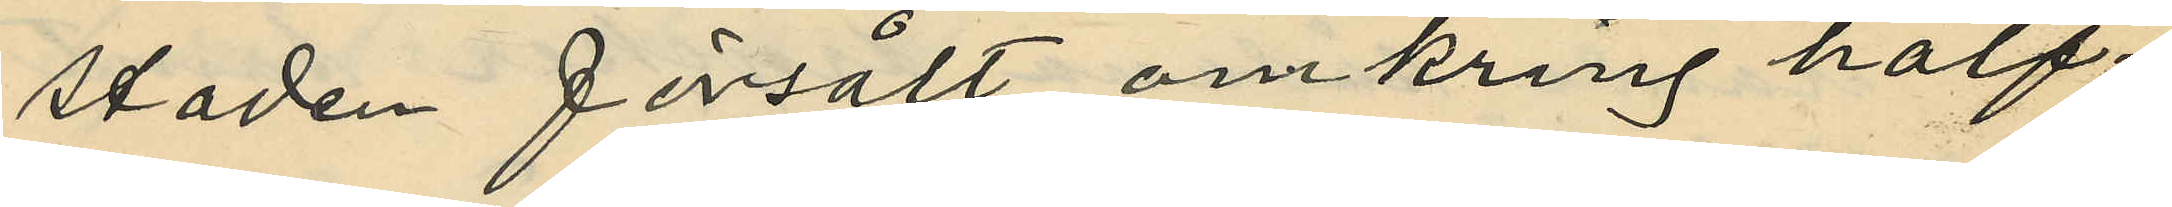staden försålt omkring hälf¬
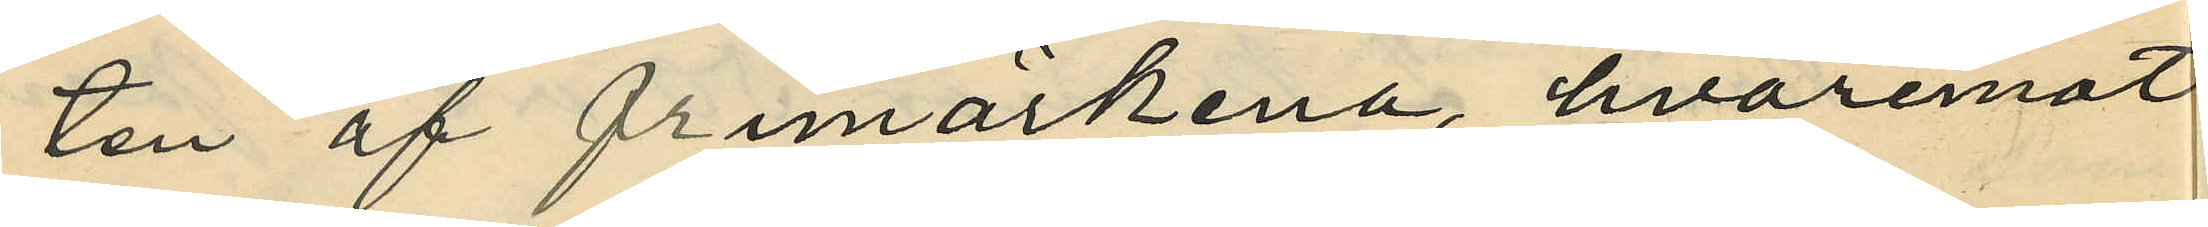ten af frimärkena, hvaremot
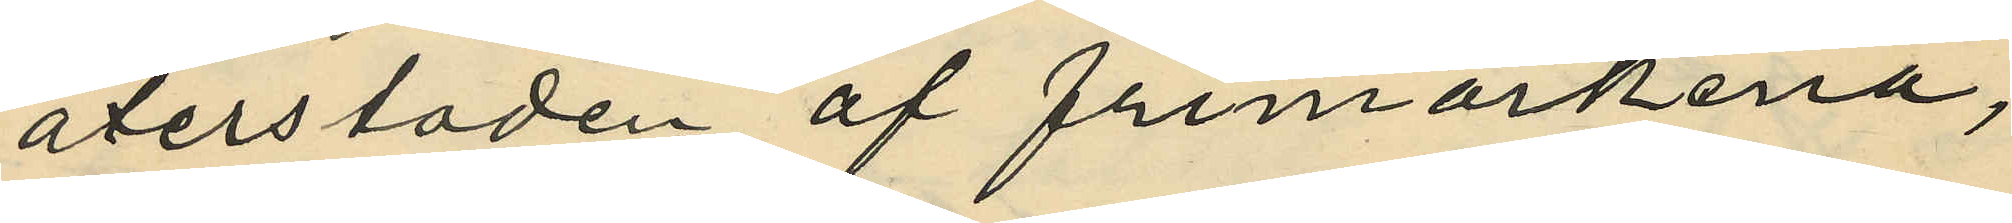återstoden af frimärkerna,
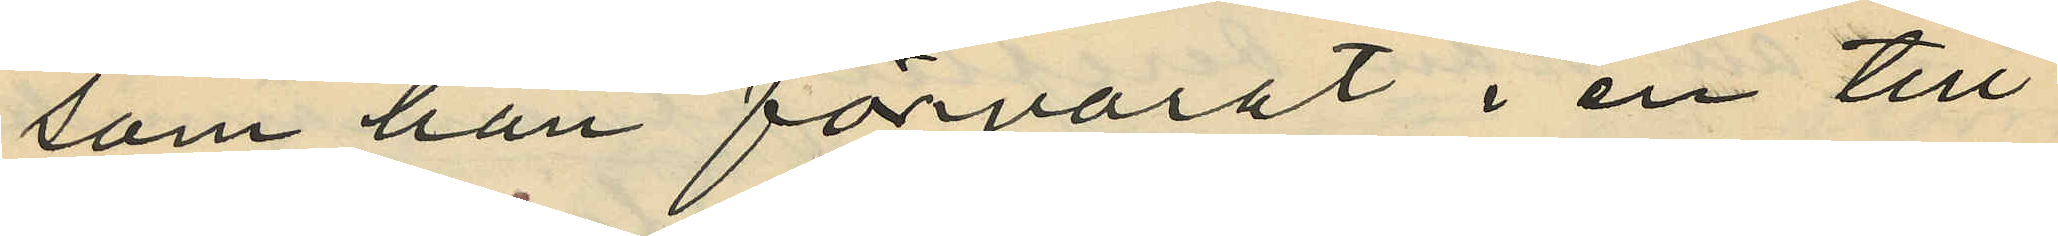som han förvarat i en till
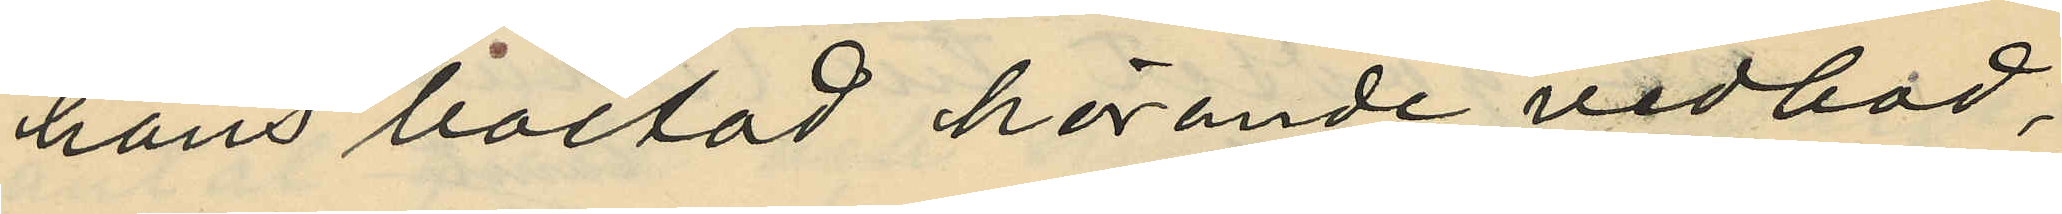hans bostad hörande vedbod,
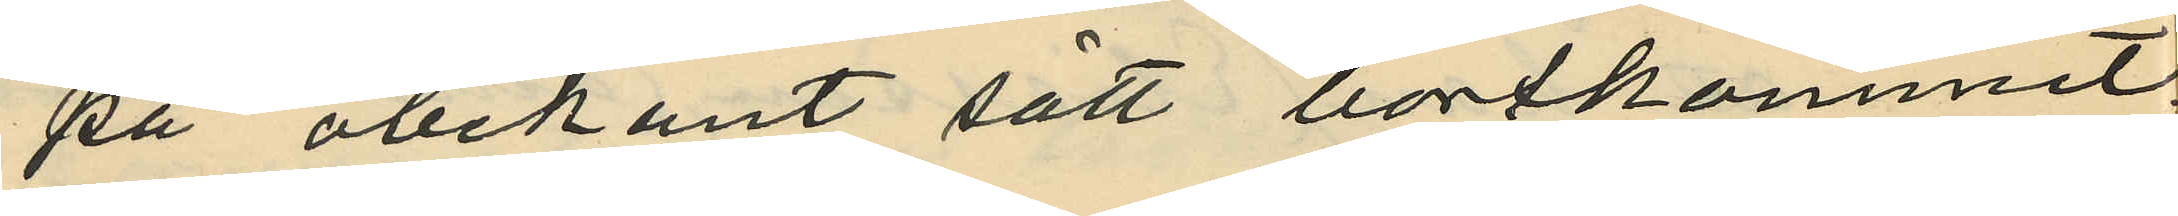på obekant sätt bortkommit.
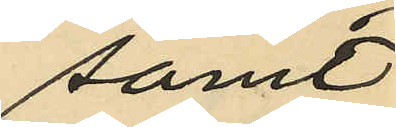samt
